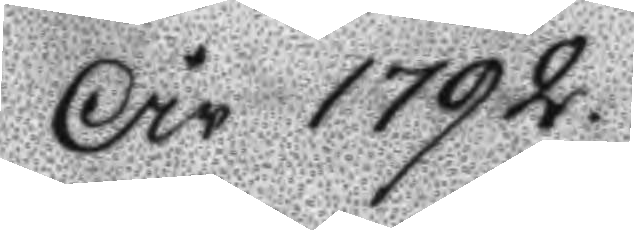År 1792
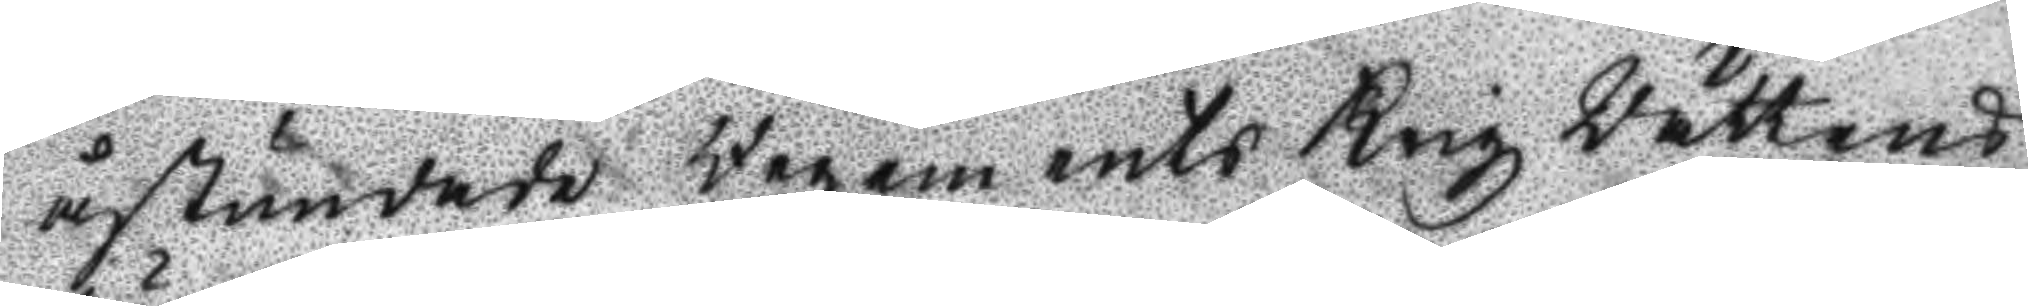åstundade Regemnts Krigz Rättens
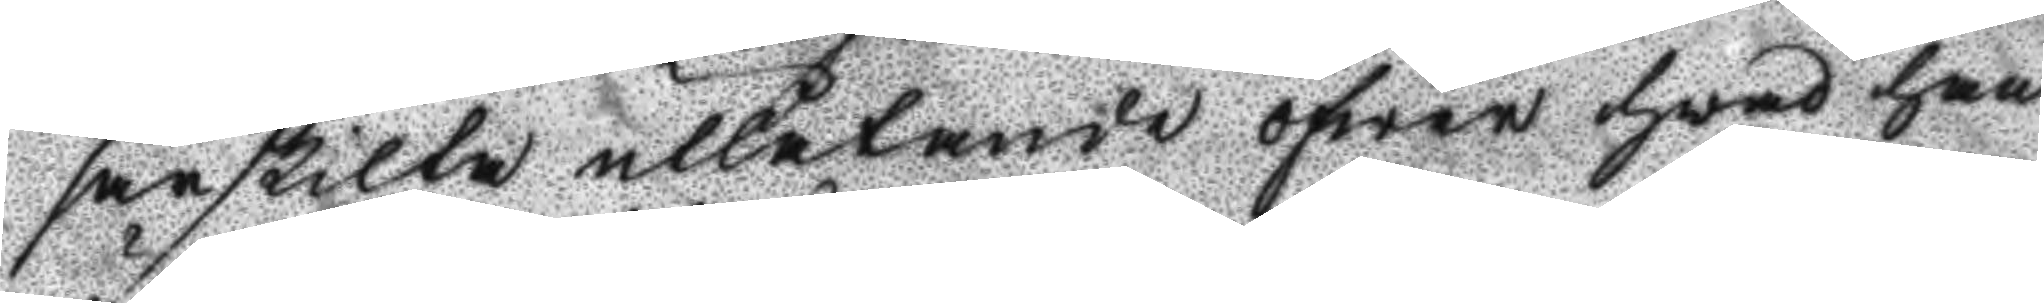särskilta utlåtande öfwer hwad han
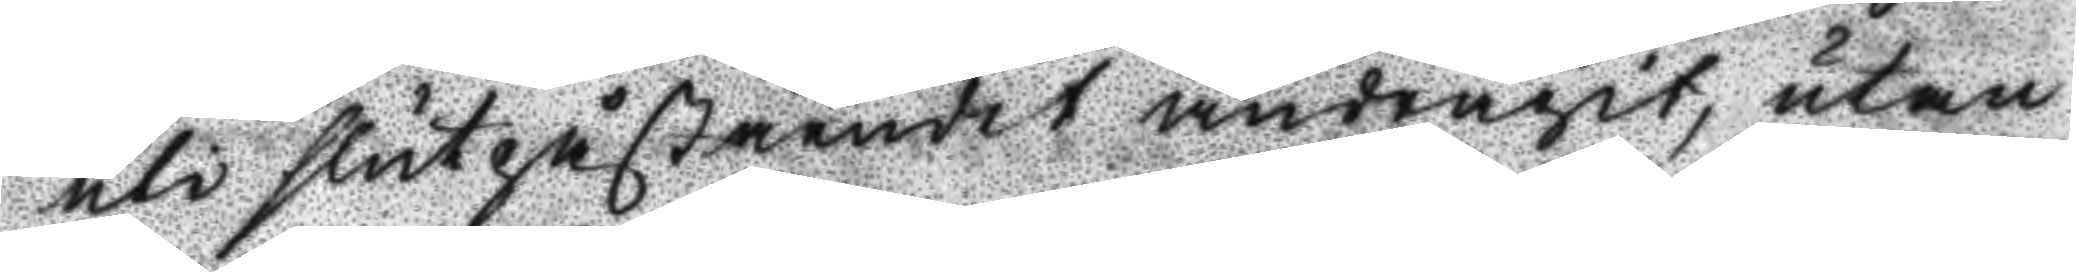uti slutpåståendet andragit, utan
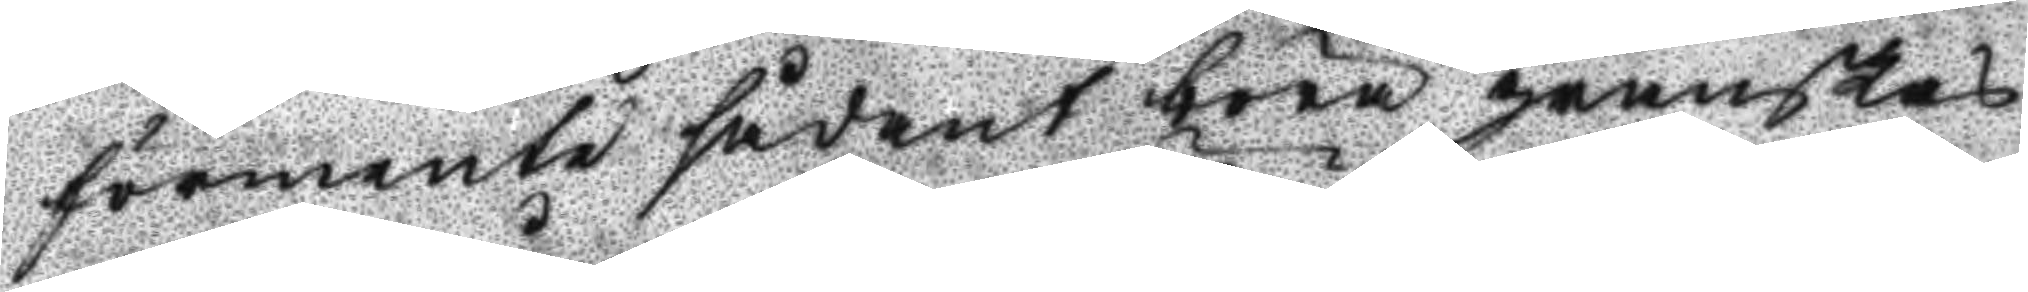förmente sådant böra granskas
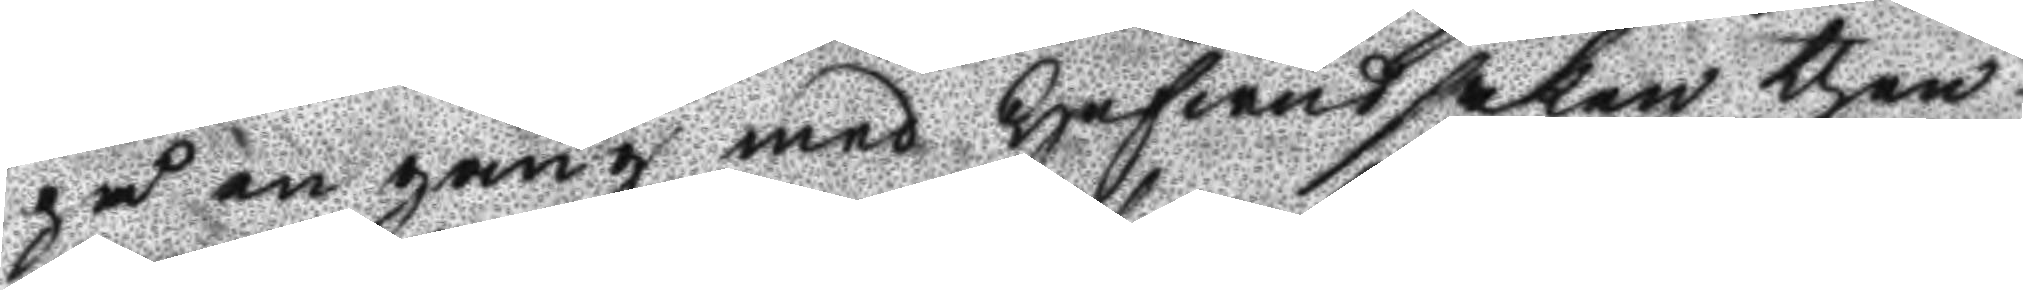på en gång med hufwudsaken then
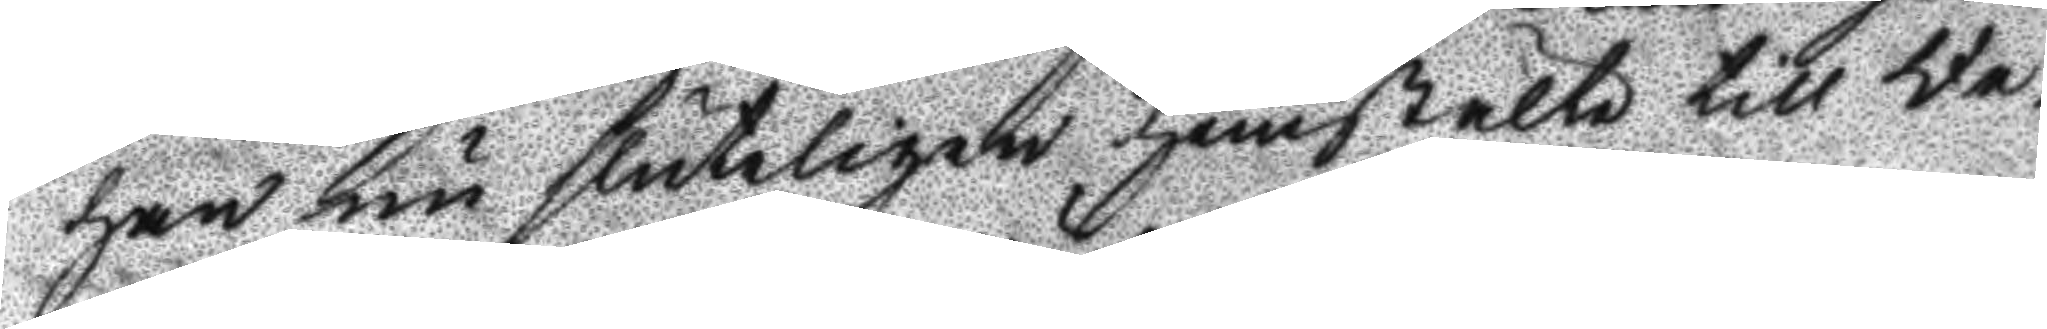han nu slutligen hemstälte till Re¬
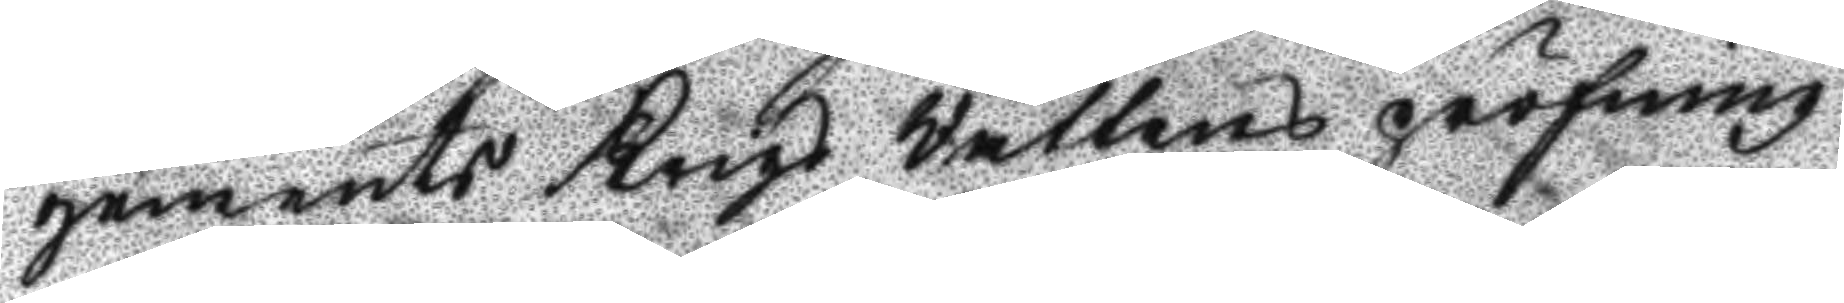gemets Krigs Rättens pröfning.
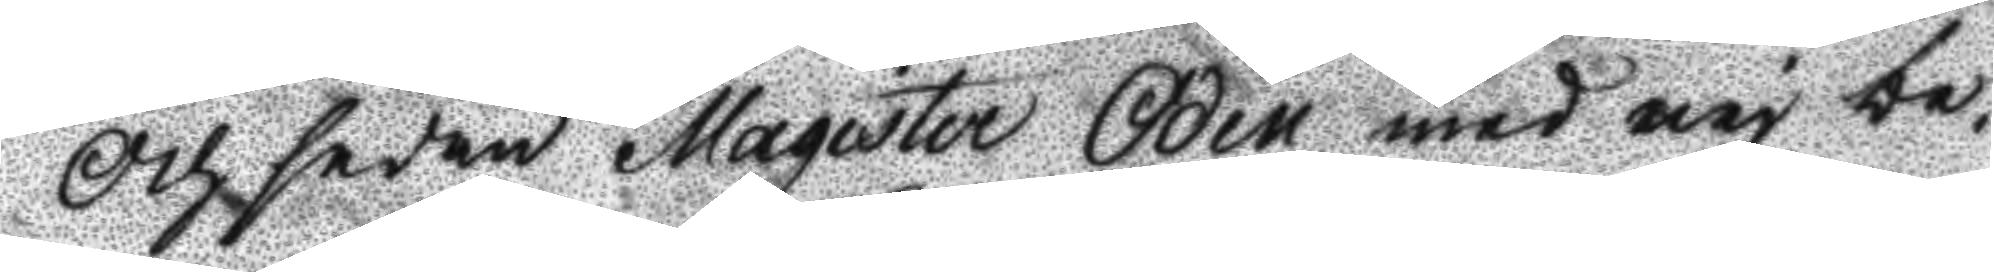Och sedan Magister Odén med nej be¬
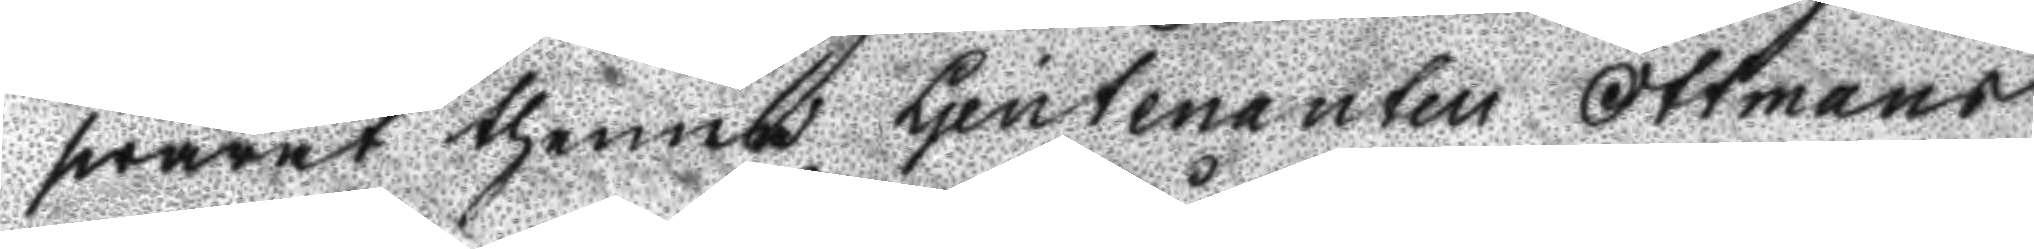swarat thenna Ljeutenanten Ottmans
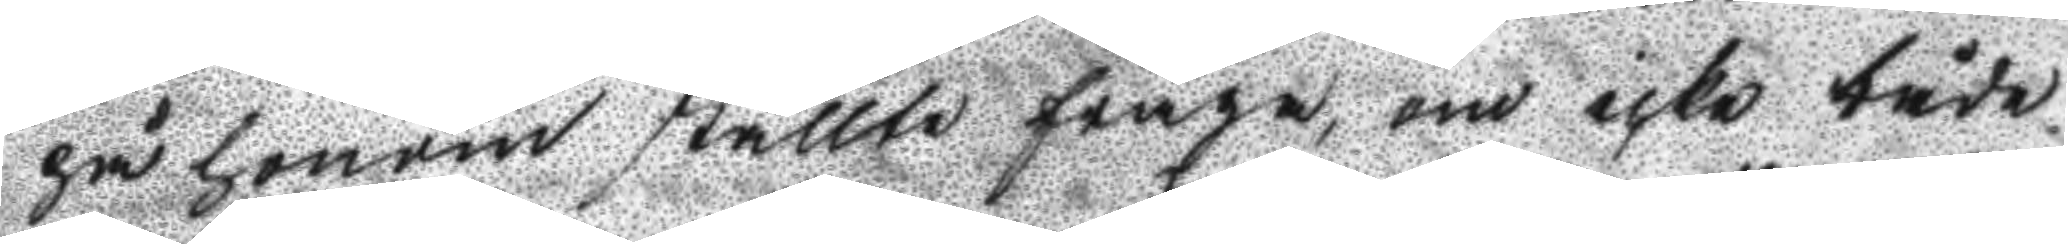på honom ställte fråga, om icke både
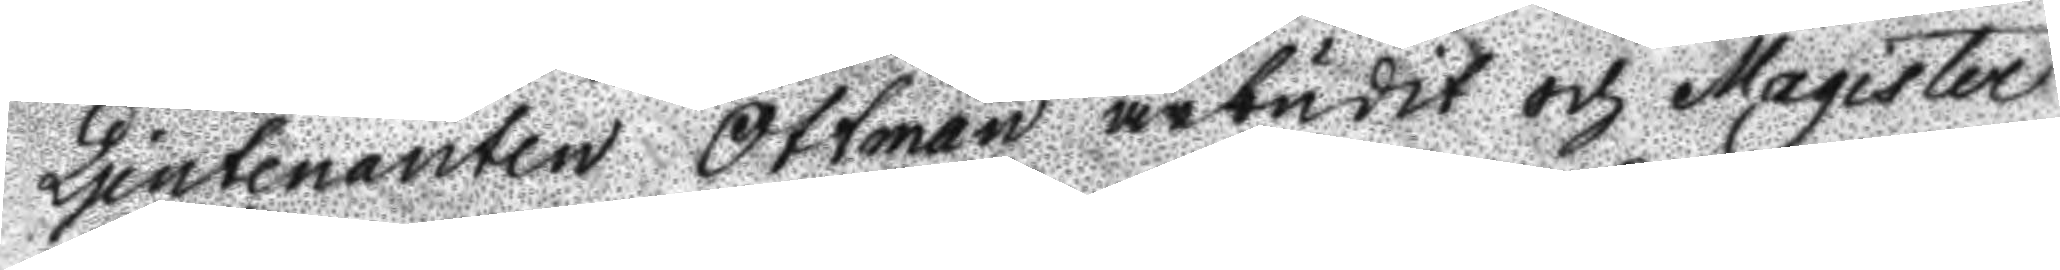Ljiutenanten Ottman ärbudit och Magister
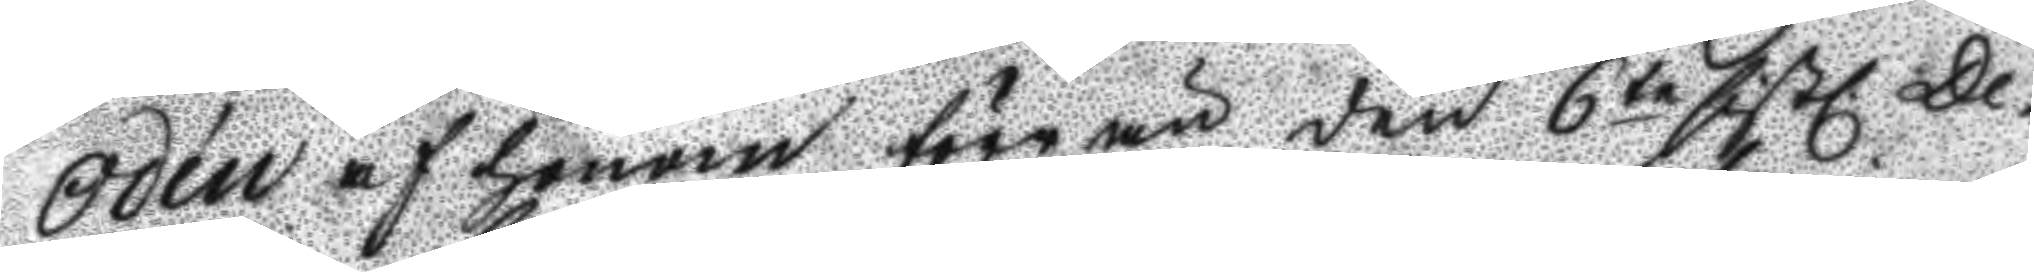Odén af honom före än den 6te sistl De¬
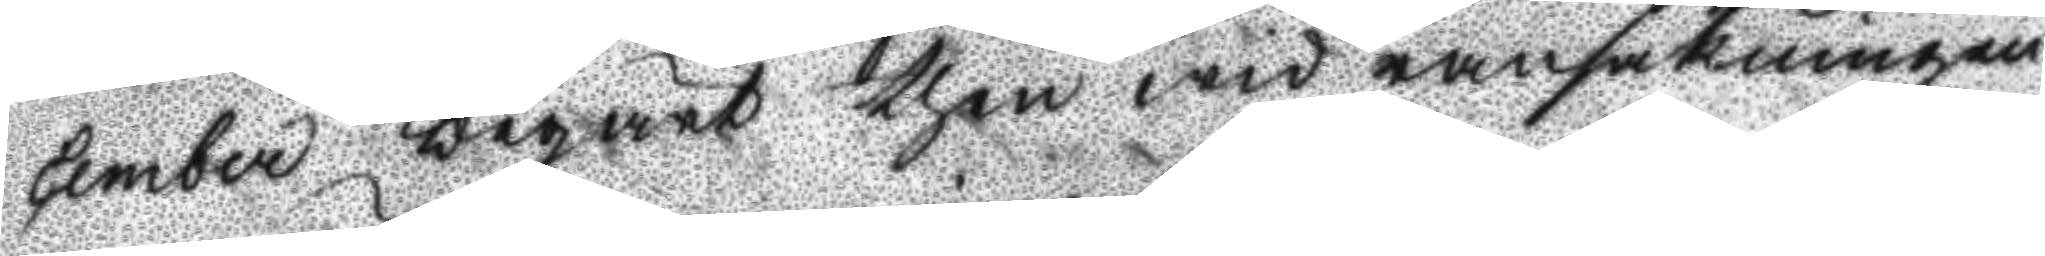cember begärt then wid ransakningen
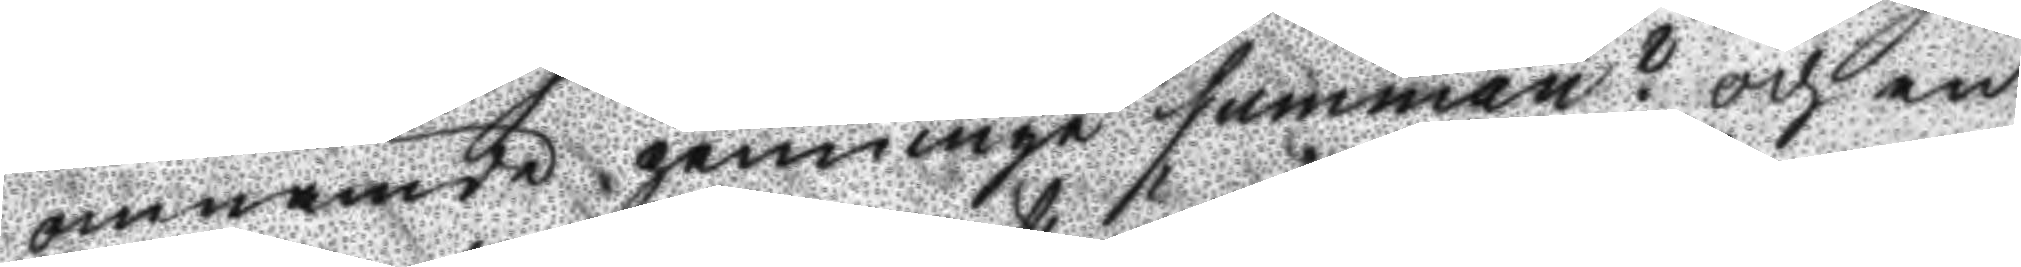omnämde penninge summan? och en
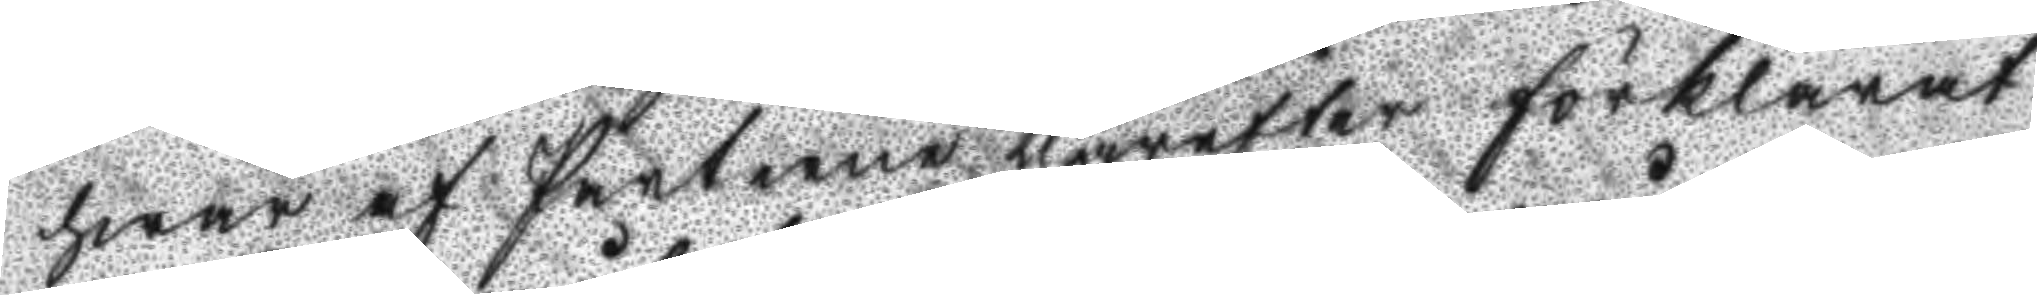hwar af Parterne therefter förklarat
